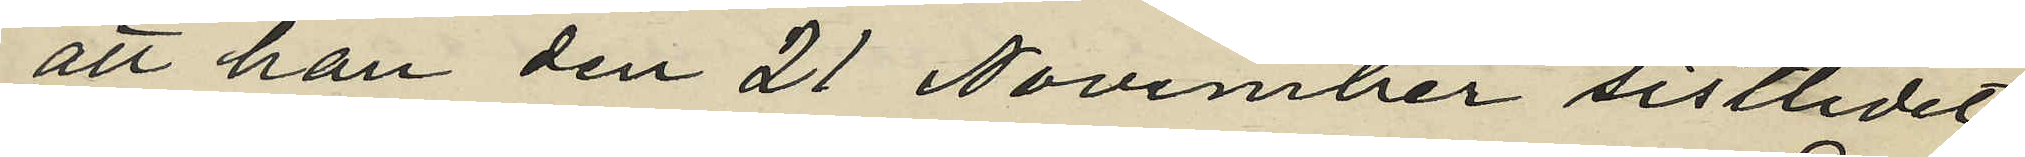att han den 21 November sistlidet
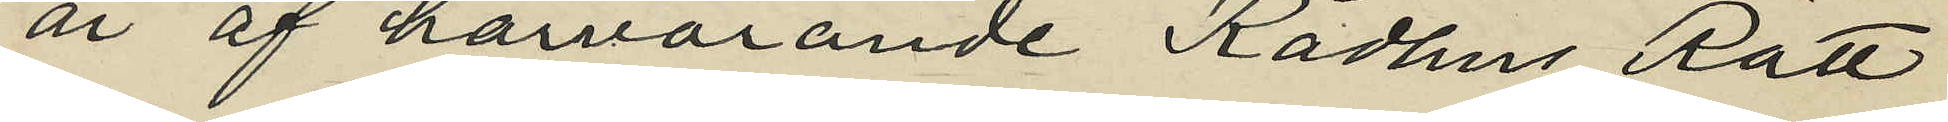år af härvarande Rådhus Rätt
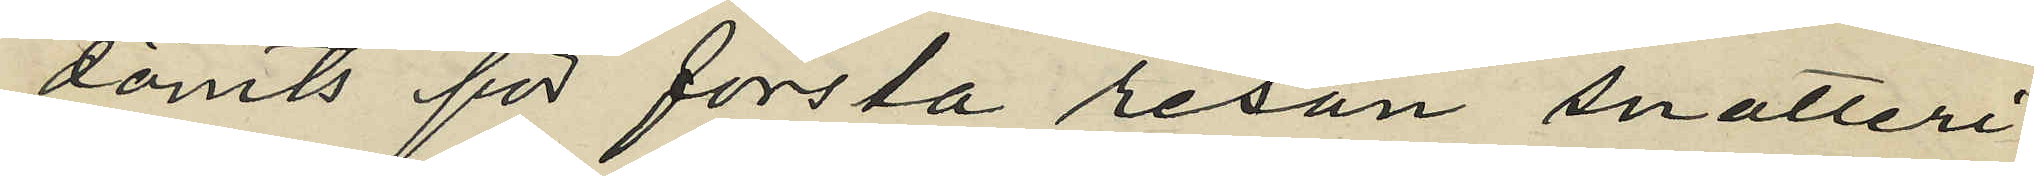dömts för första resan snatteri
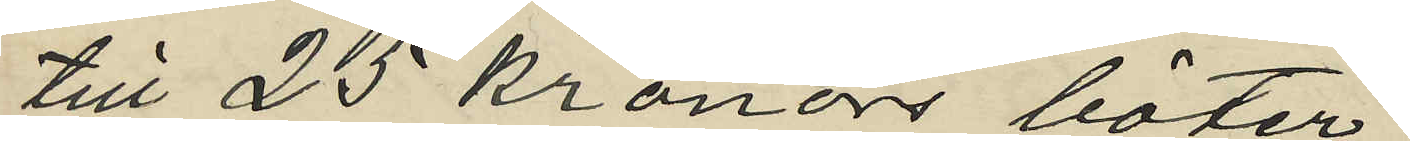till 25 kronor böter;
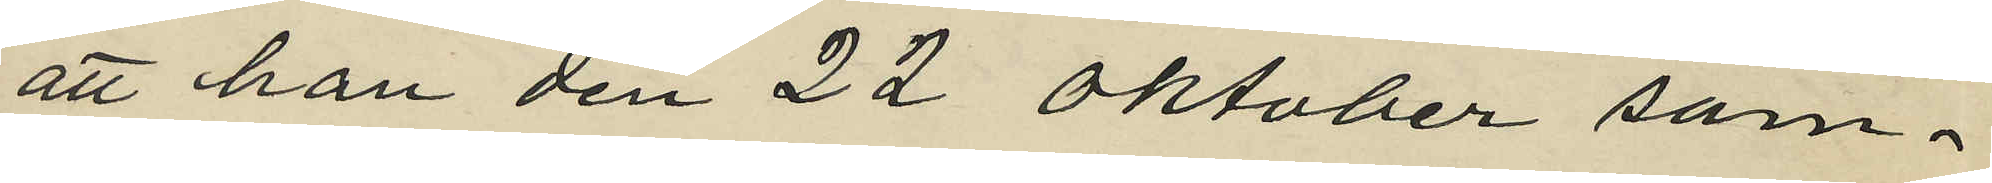att han den 22 Oktober sam¬
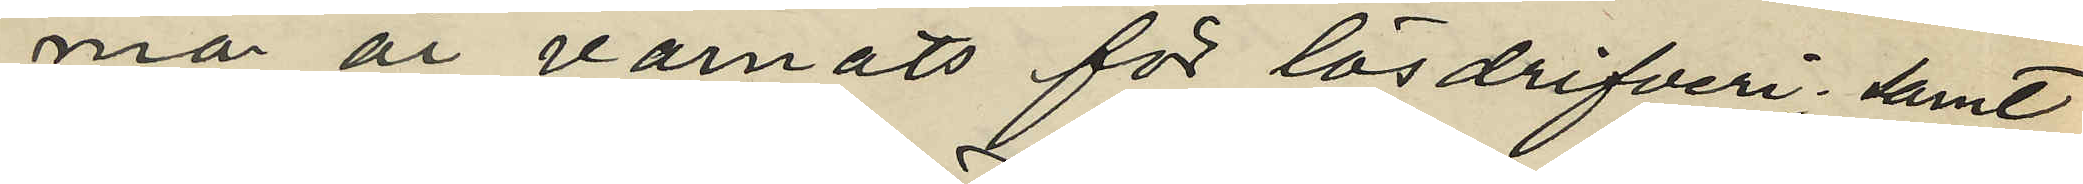ma år varnats för lösdrifveri; samt
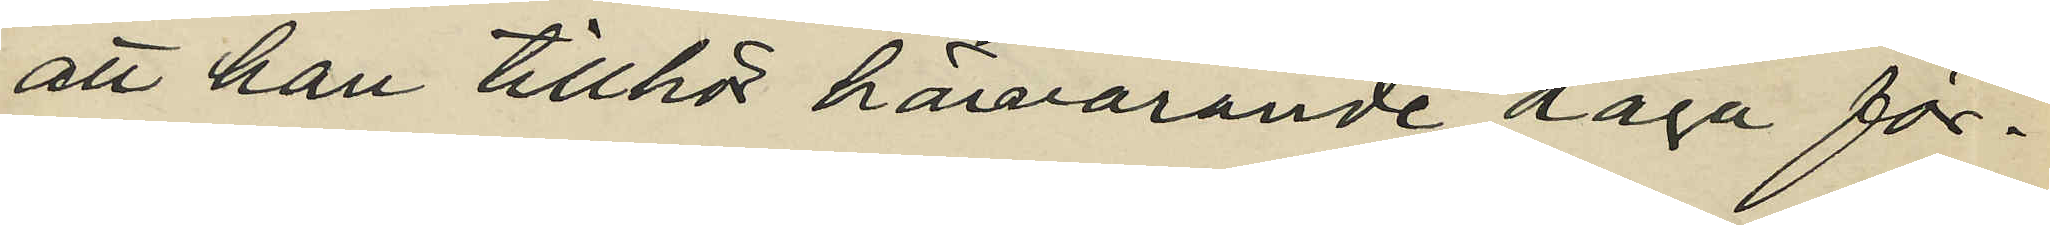att han tillhör härvarande Haga för¬
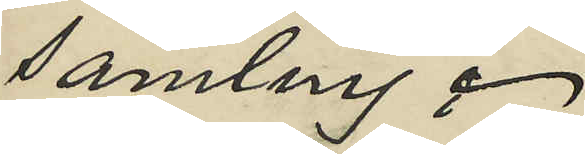samling.
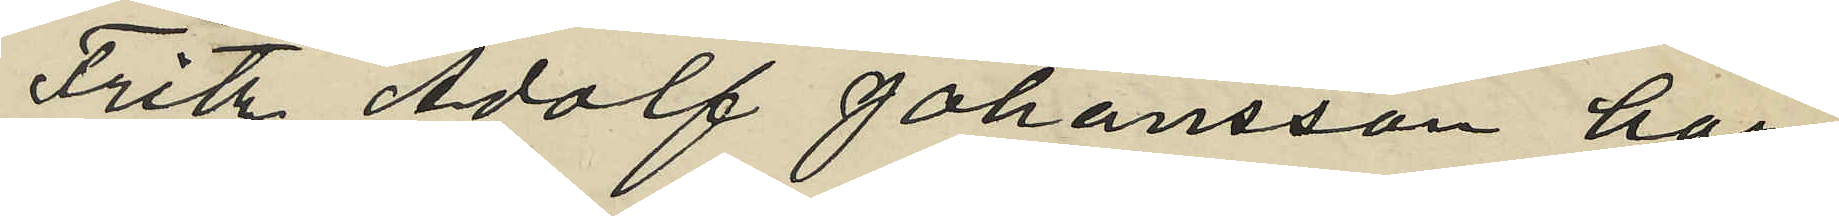Fritz Adolf Johansson har
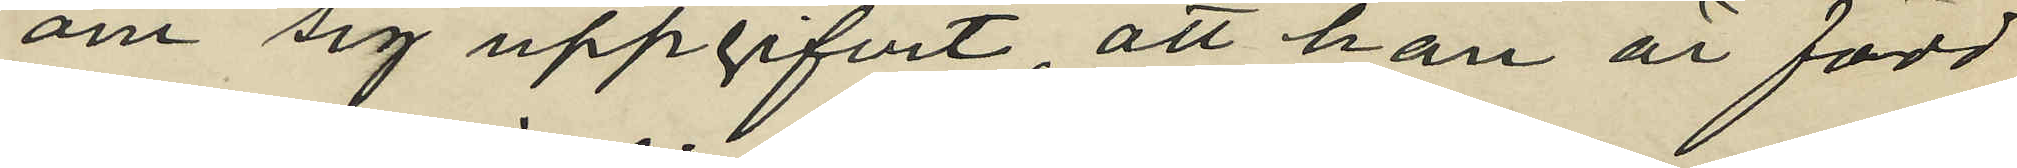om sig uppgifvit, att han är född
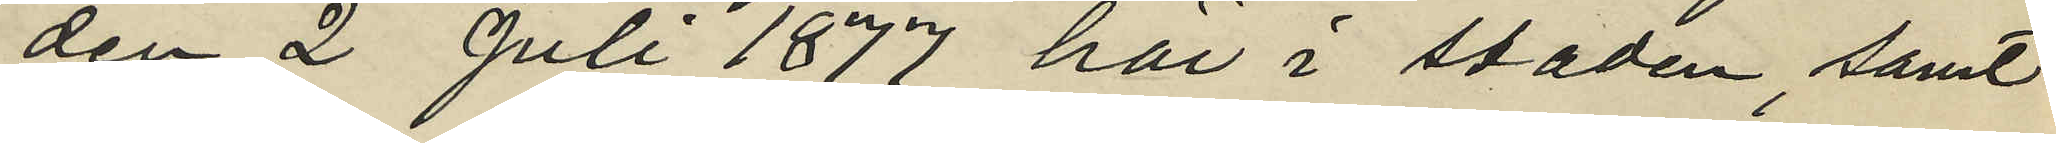den 2 Juli 1877 här i staden, samt
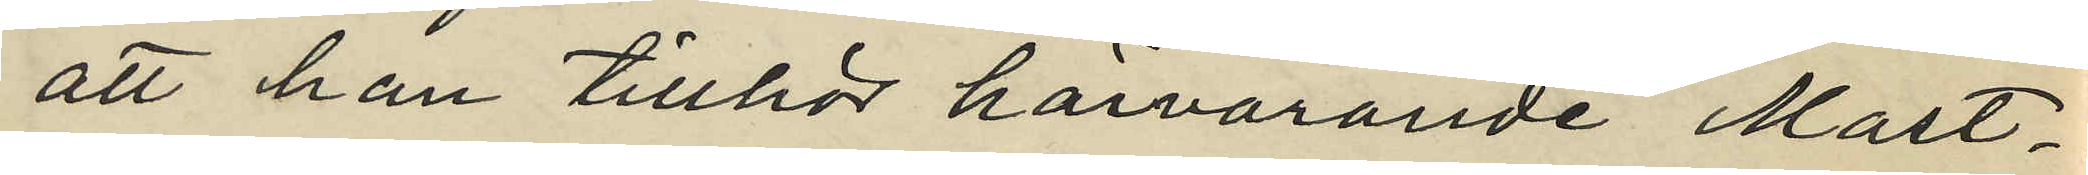att han tillhör härvarande Mast¬
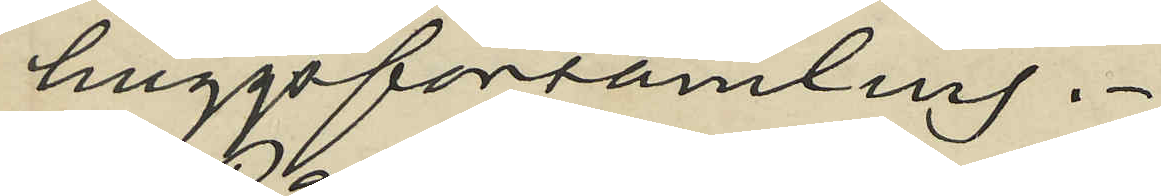huggsförsamling.
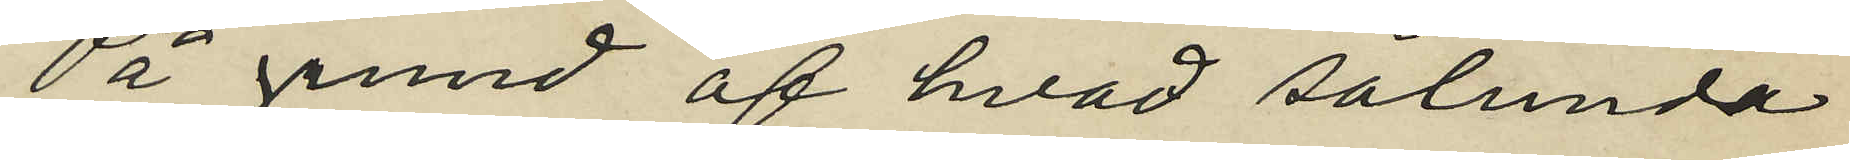På grund af hvad sålunda
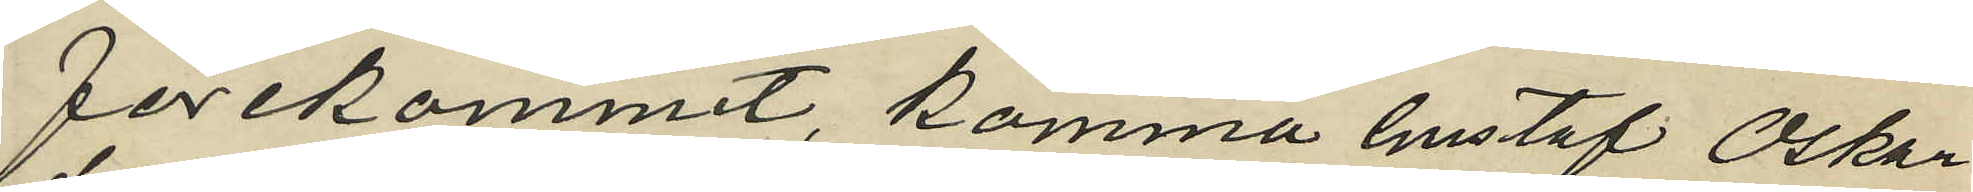förekommit, komma Gustaf Oskar
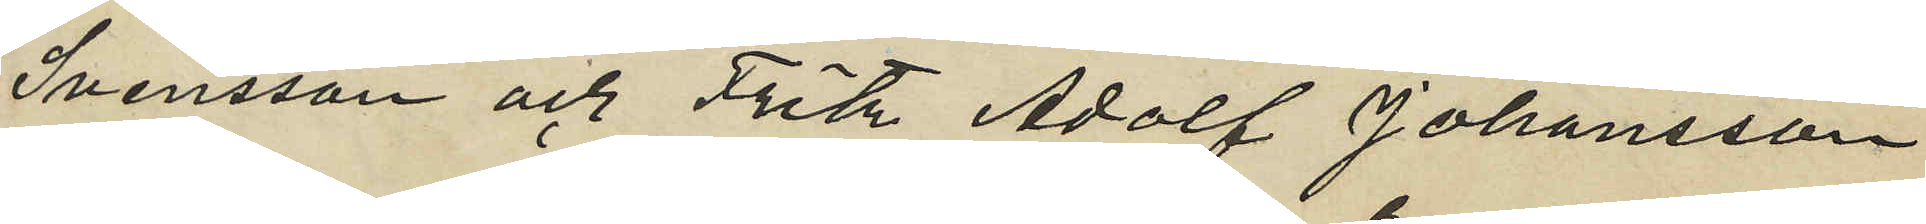Svensson och Fritz Adolf Johansson
